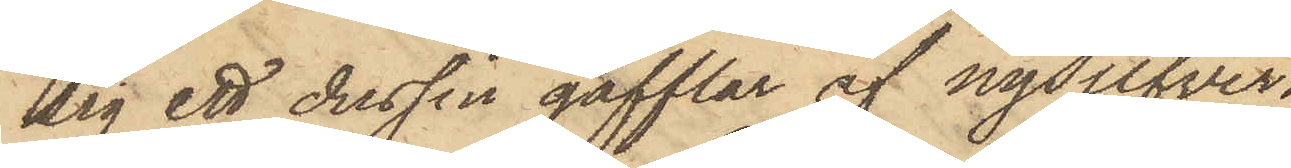sig ett dussin gafflar af nysilfver,
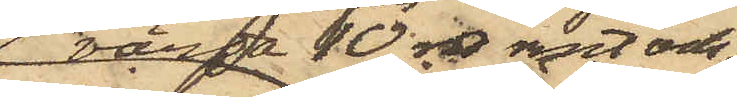värda 10 rdr rmt och
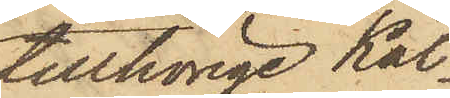tillhörige Käl¬
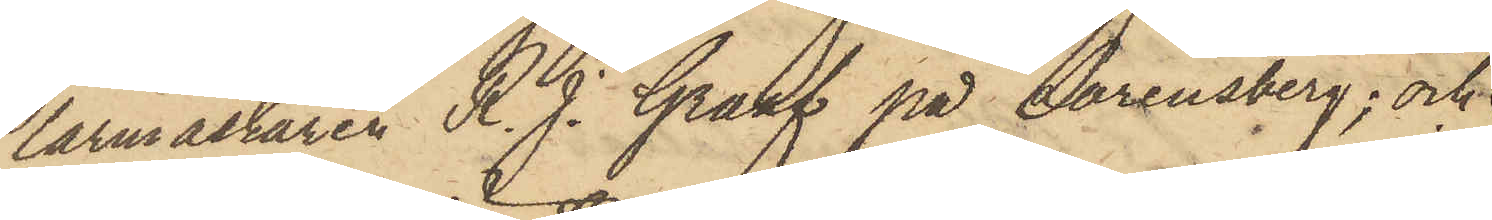larmästaren R. J. Graaf på Lorensberg; och
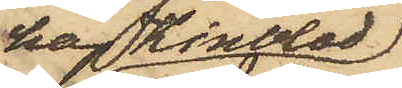har Kindblad
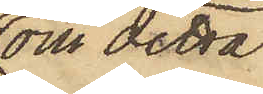om detta
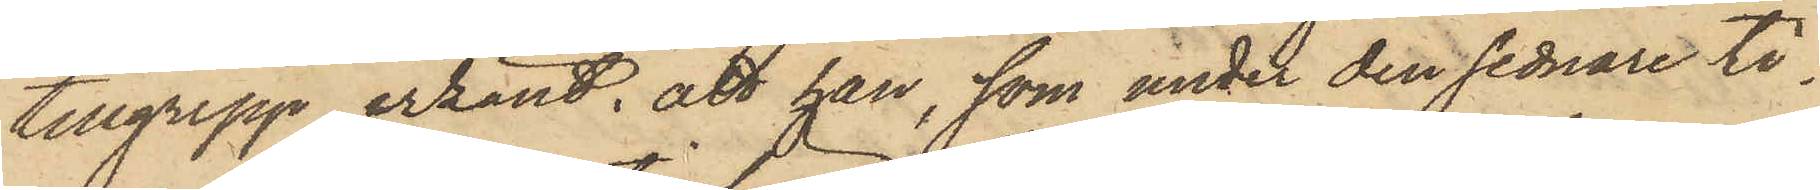tillgrepp erkänt, att han, som under den sednare ti¬
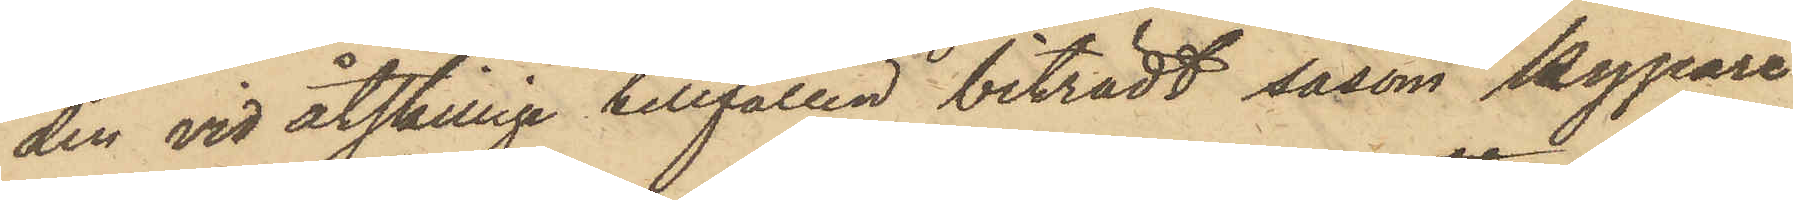den vid åtskillige tillfällen biträdt såsom kypare
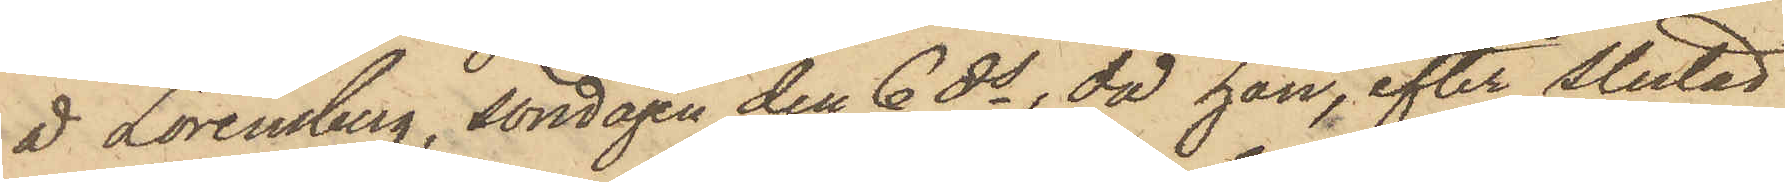å Lorensberg, söndagen den 6 ds, då han, efter slutad
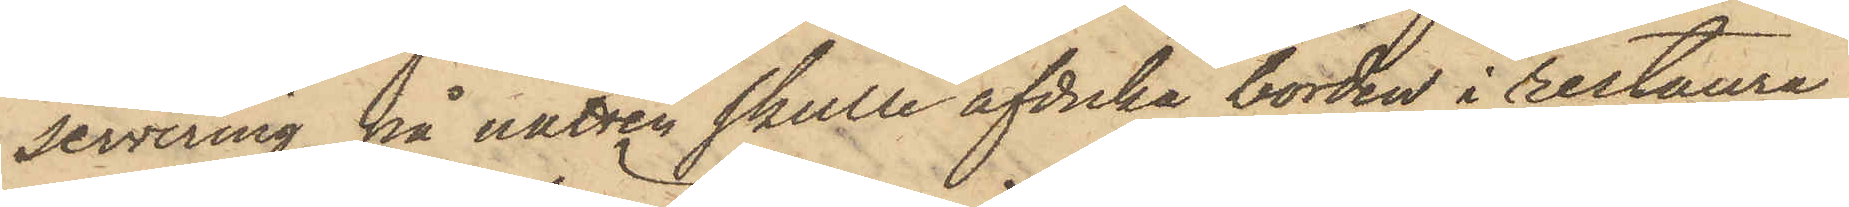servering, på natten skulle afduka borden i restaura¬
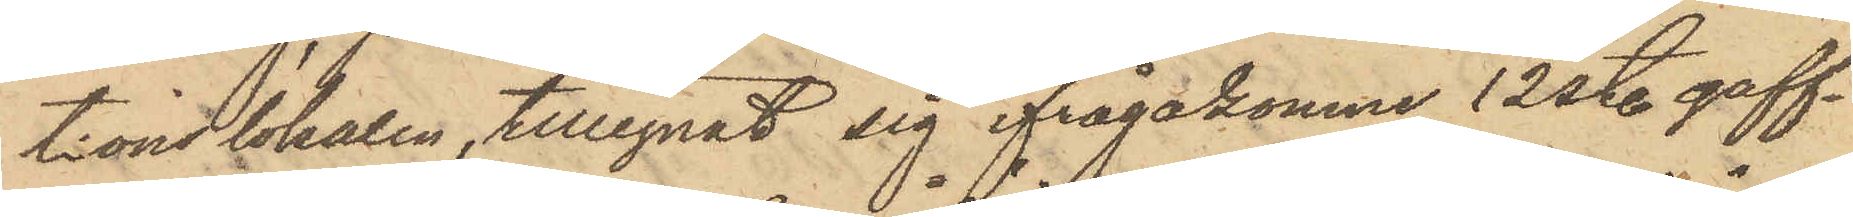tionslokalen, tillegnat sig ifrågakomne 12 st. gaff¬
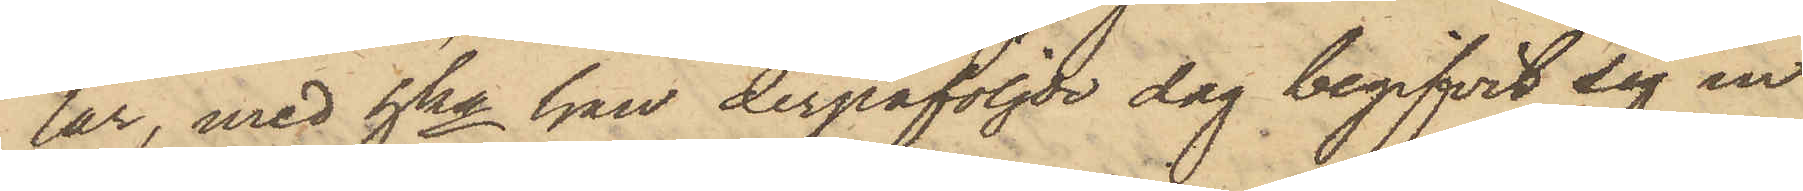lar, med hka han derpåföljde dag begifvit sig in
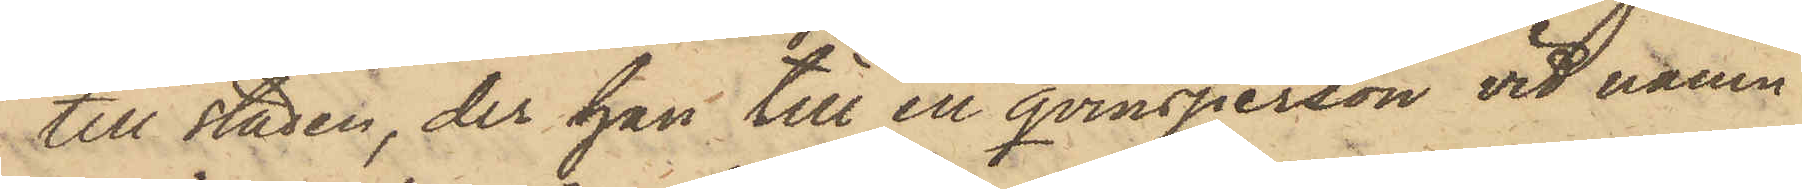till staden, der han till en qvinsperson vid namn
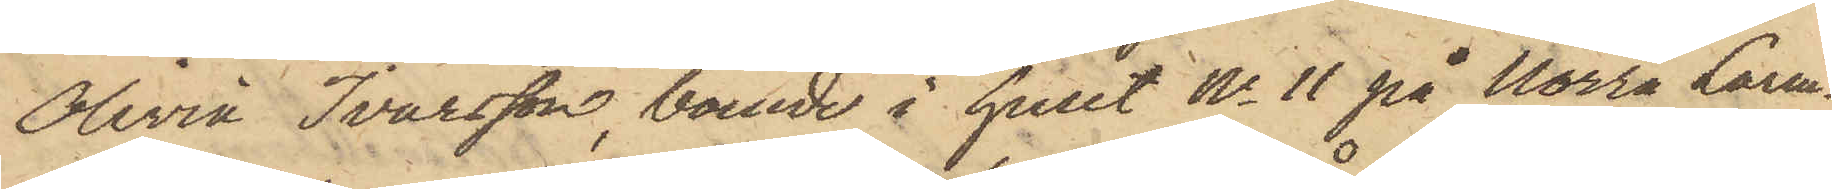Olivia Ivarsson, boende i huset No 11 på Norra Larm¬
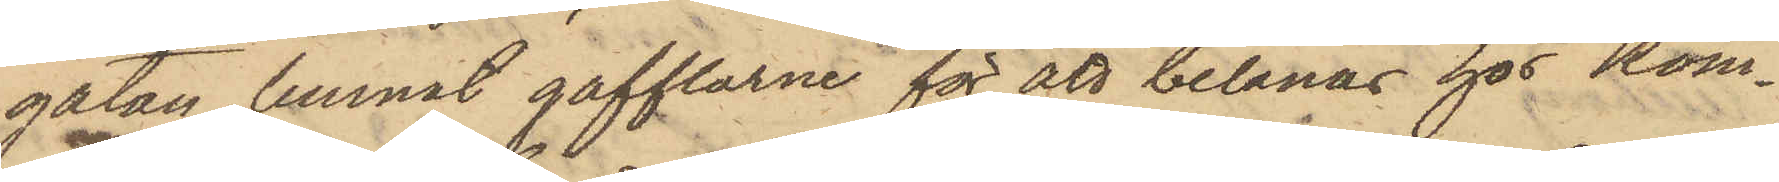gatan, lemnat gafflarne för att belånas hos Kom¬
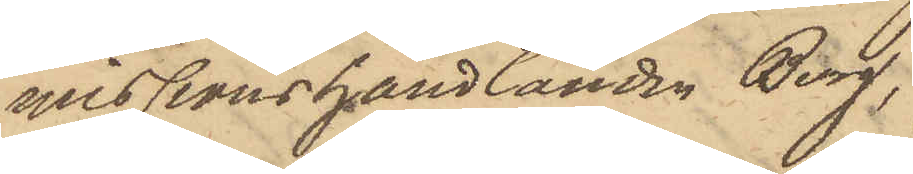misionshandlanden Berg,
